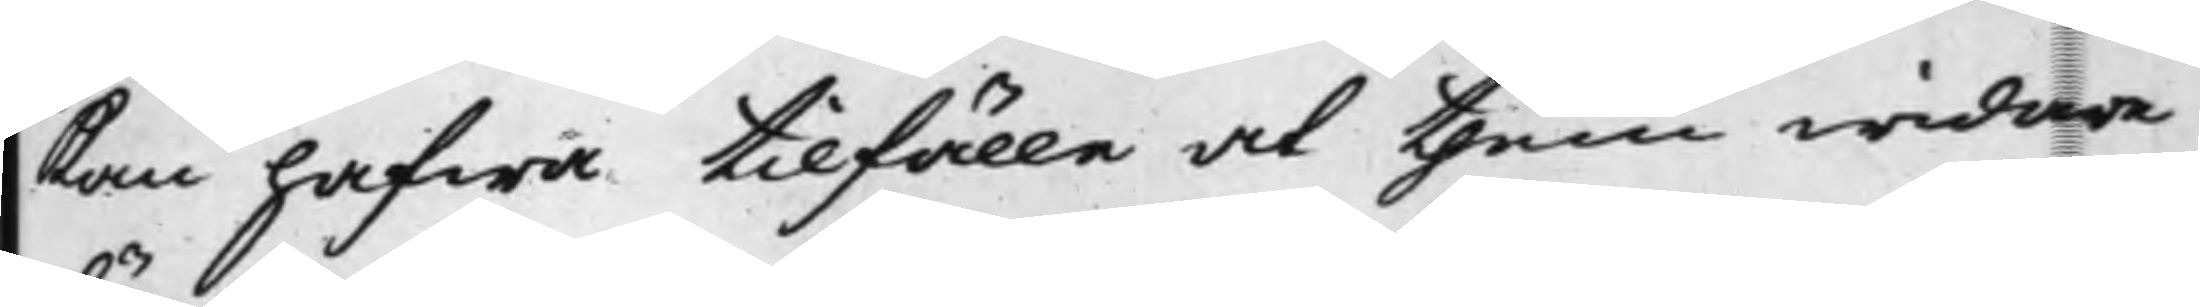kan hafwa tillfälle at them widare
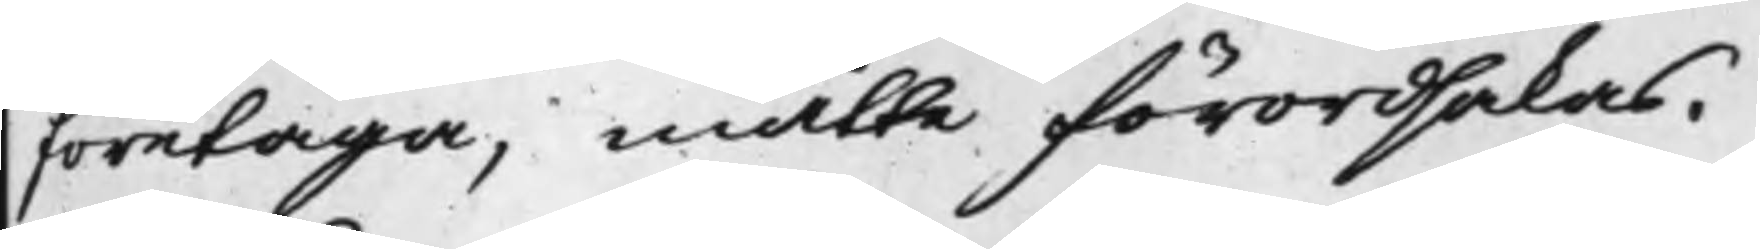företaga, måtte förordsakas.
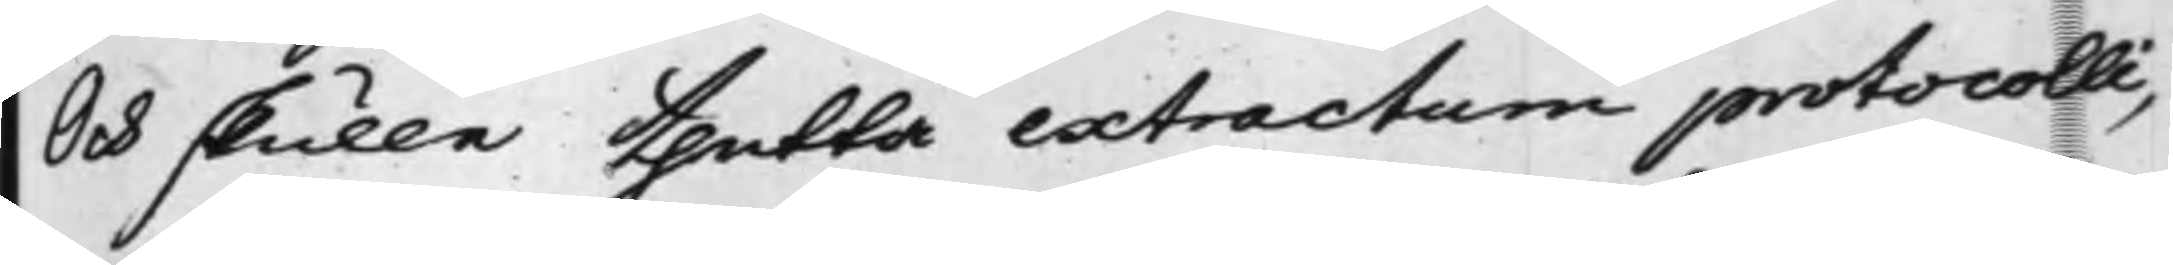Och skulle thetta extractum protocolli,
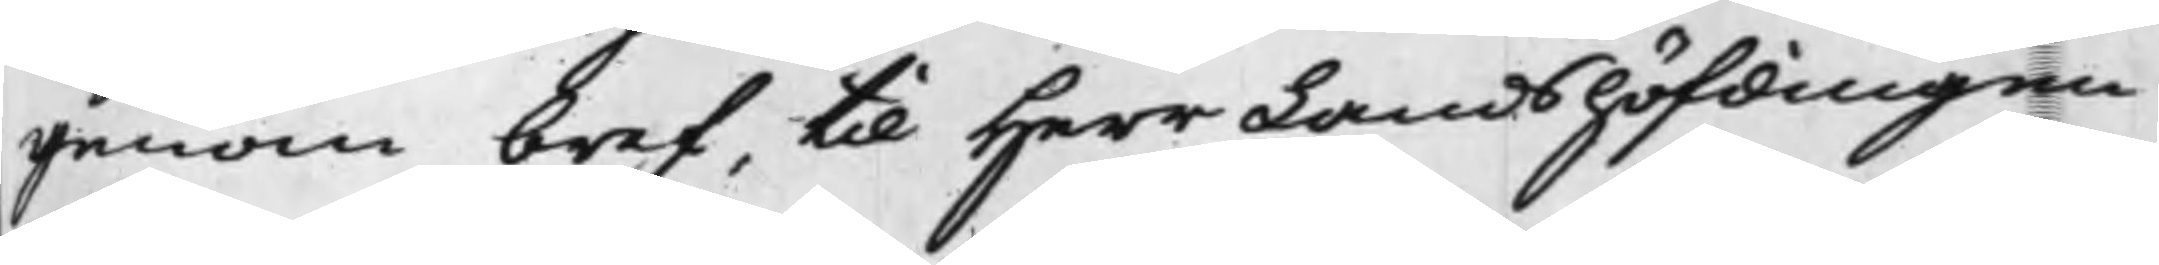genom bref, til Herr Landshöfdingen
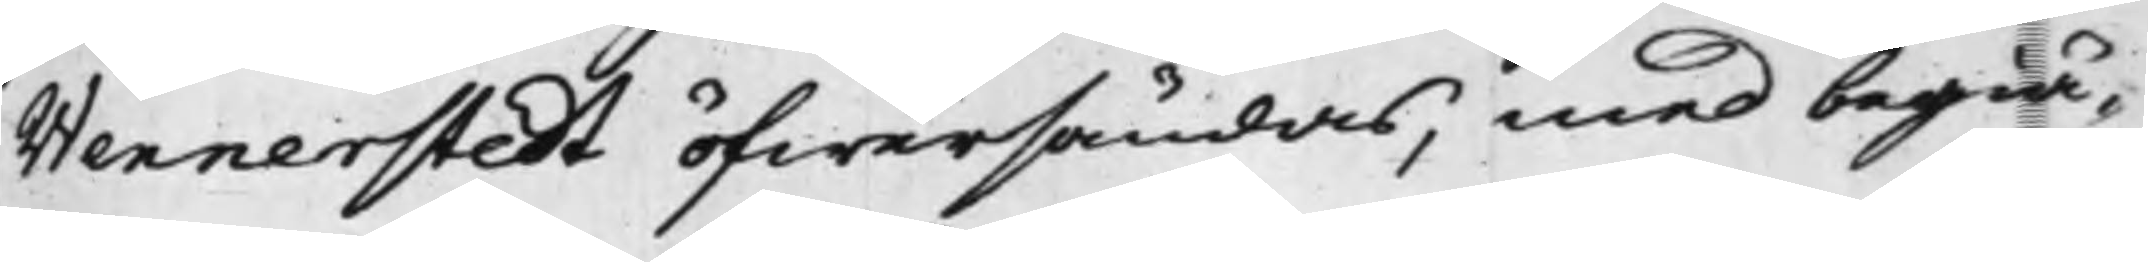Wennerstedt öfwersändas, med begiä¬
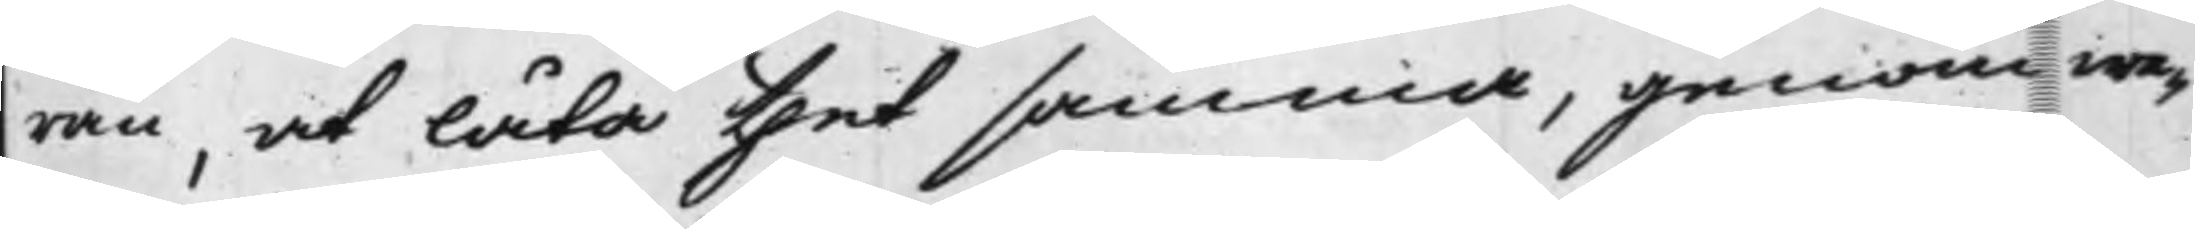ran, at låta thet samma, genom we¬
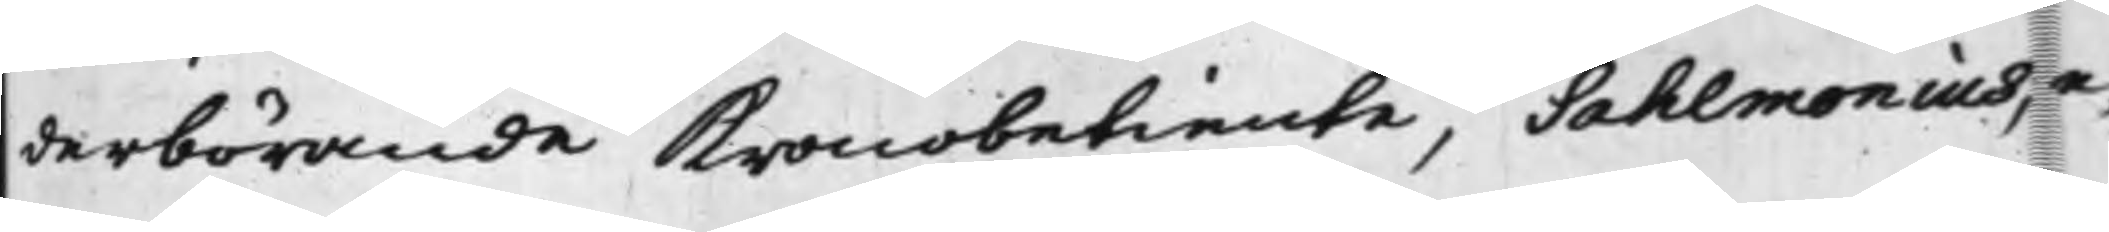derbörande kronobetiente, Sahlmonius, e¬
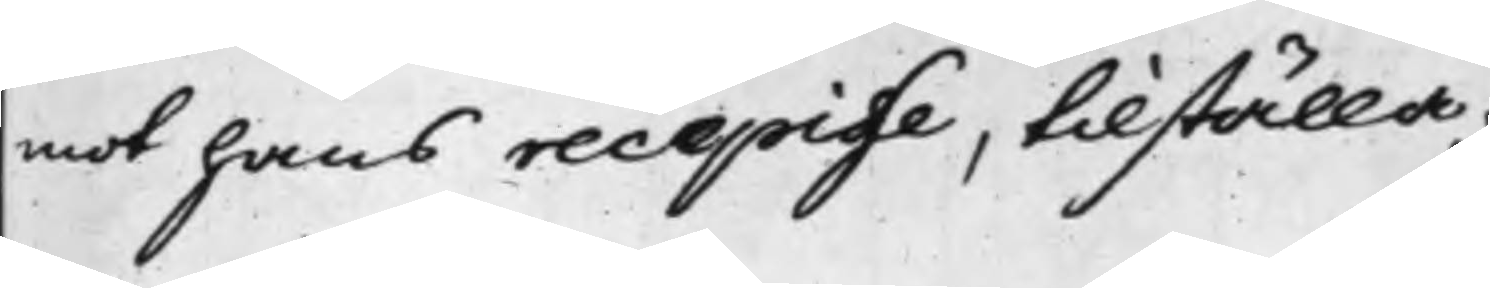mot hans recepisse, tillställa.
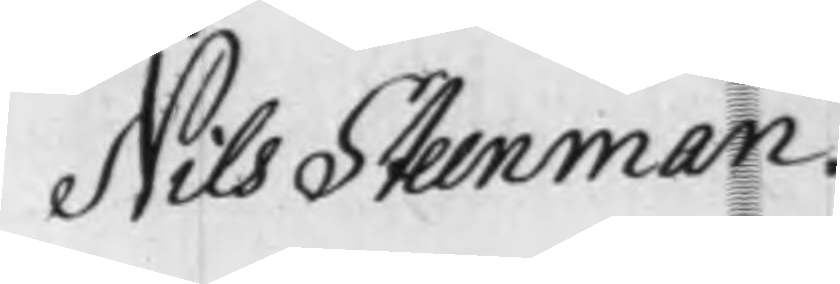Nils Steenman. 
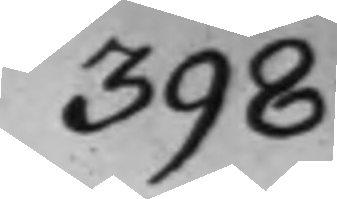398
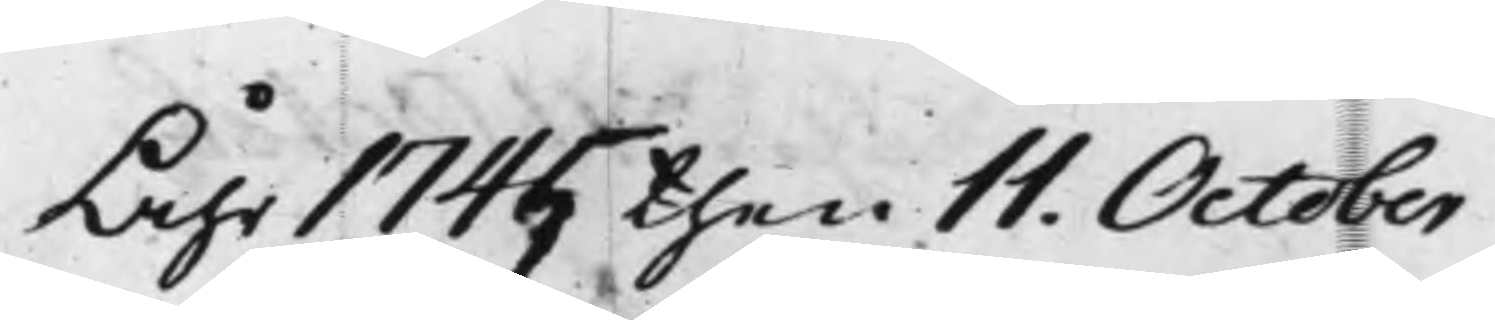Åhr 1745 then 11. October
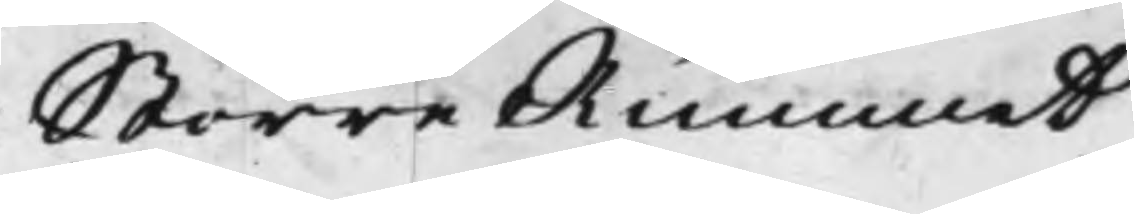Större Rummet
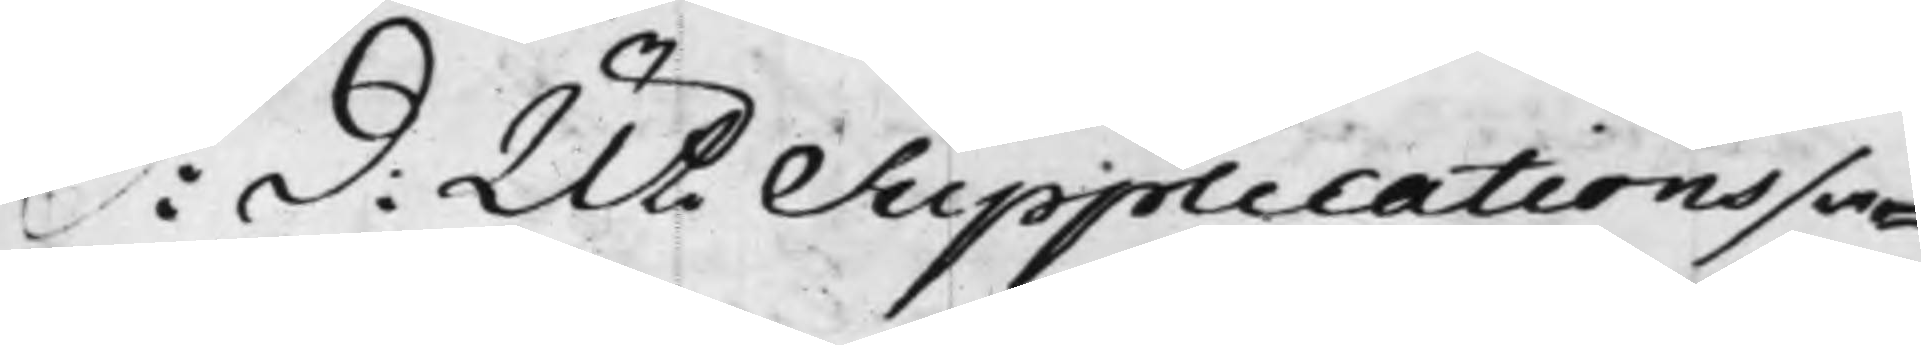S: d: Uti Supplicationssa¬
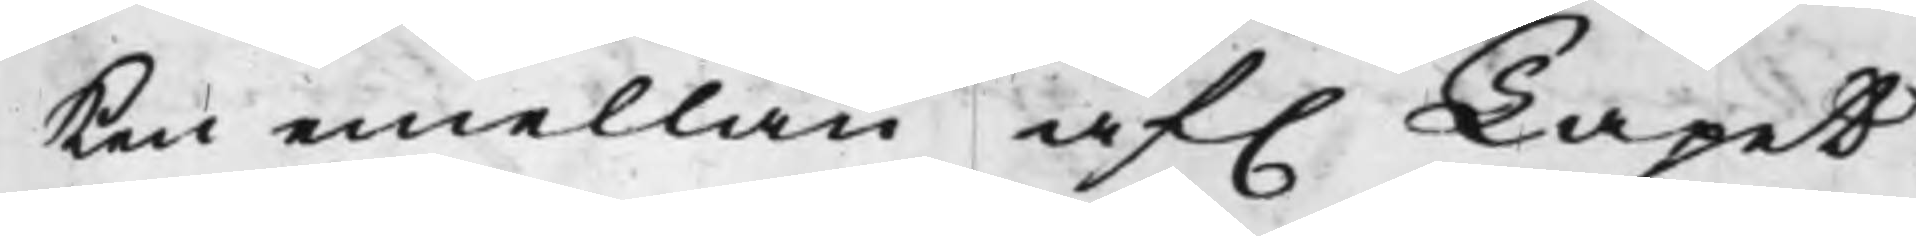ken emellan af. Tapeth¬
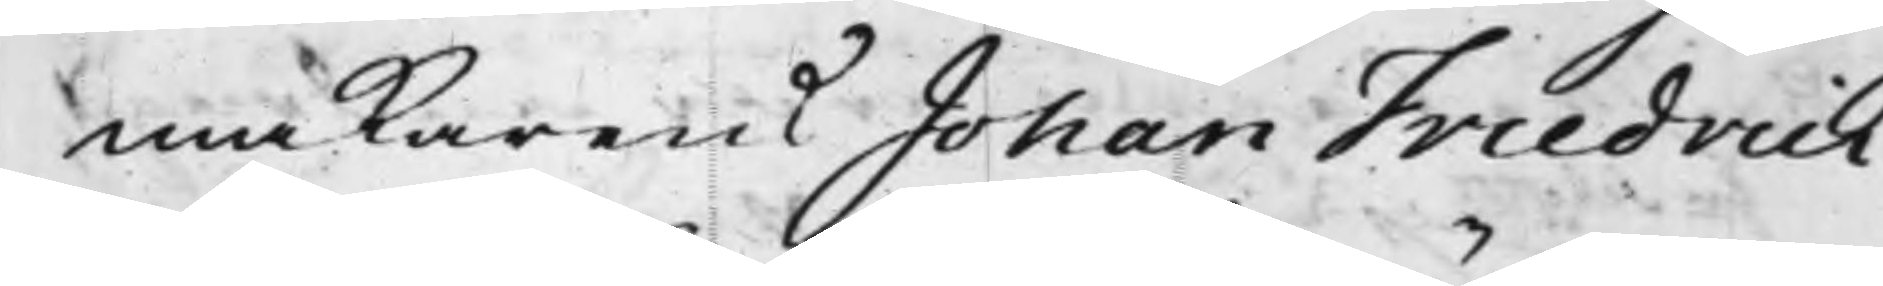makarens Johan Friedrich
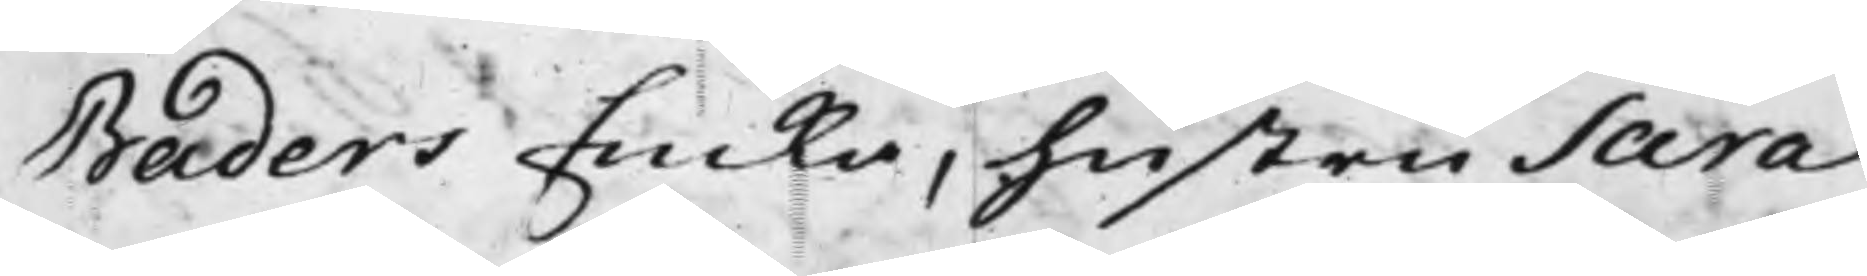Baders Enka, hustru Sara
